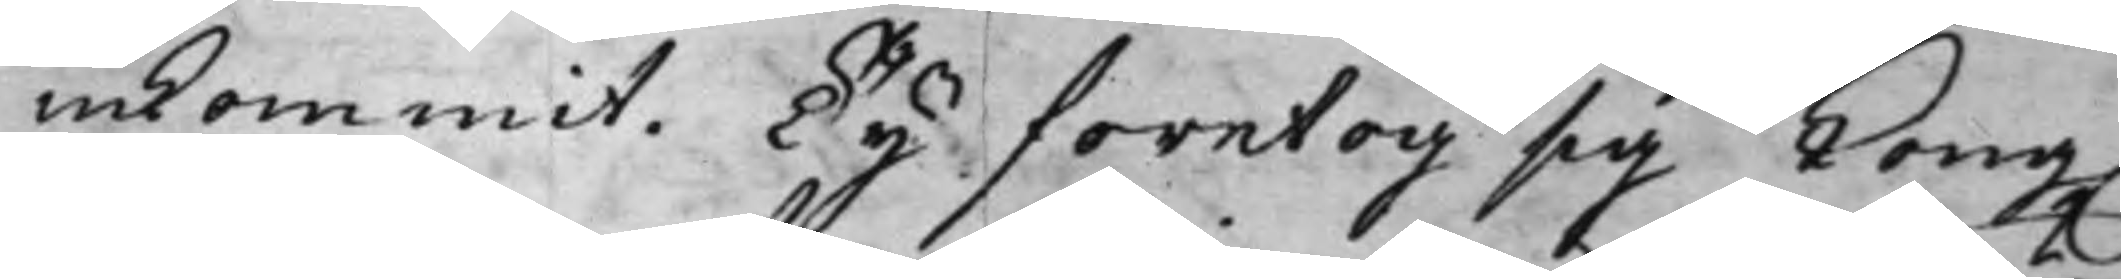inkommit; Ty företog sig Kong.
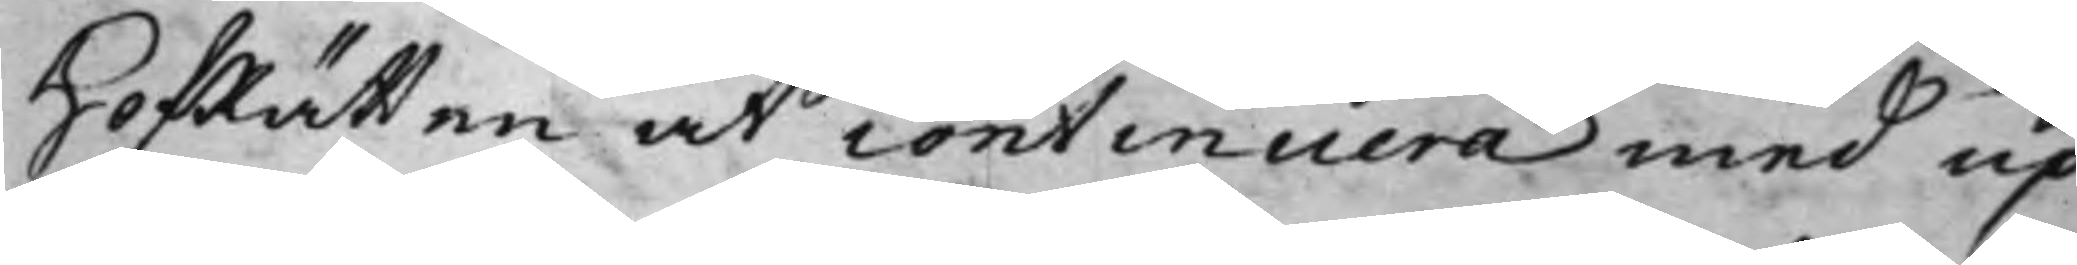HofRätten at continuera med up¬
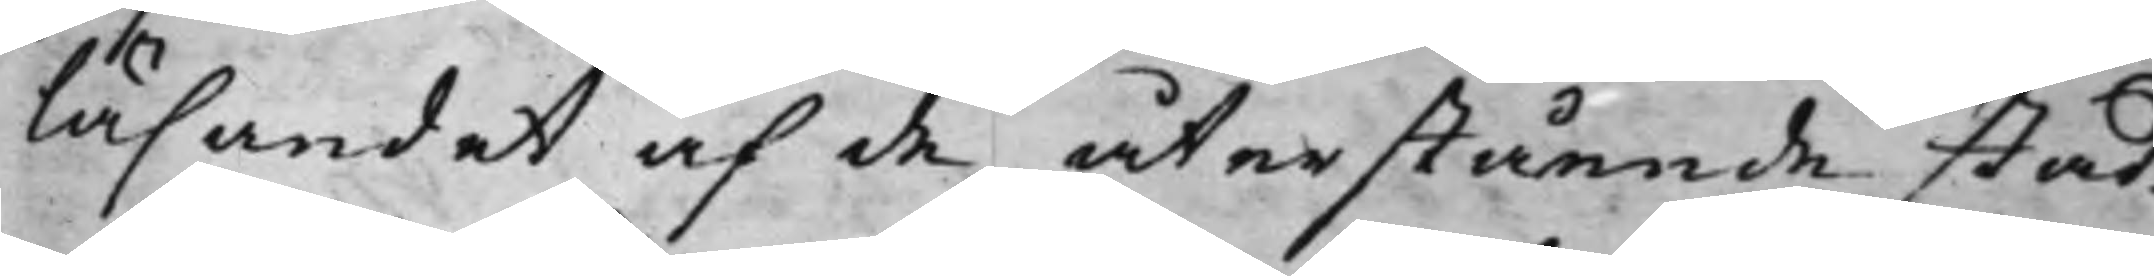läsandet af de återstående stad¬
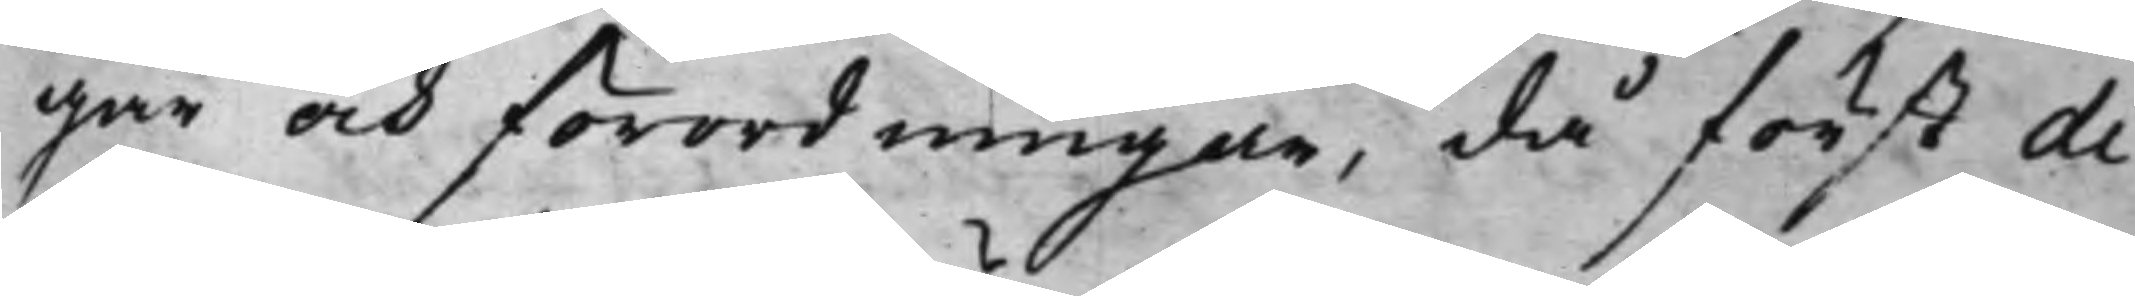gar och förordningar, då först di¬
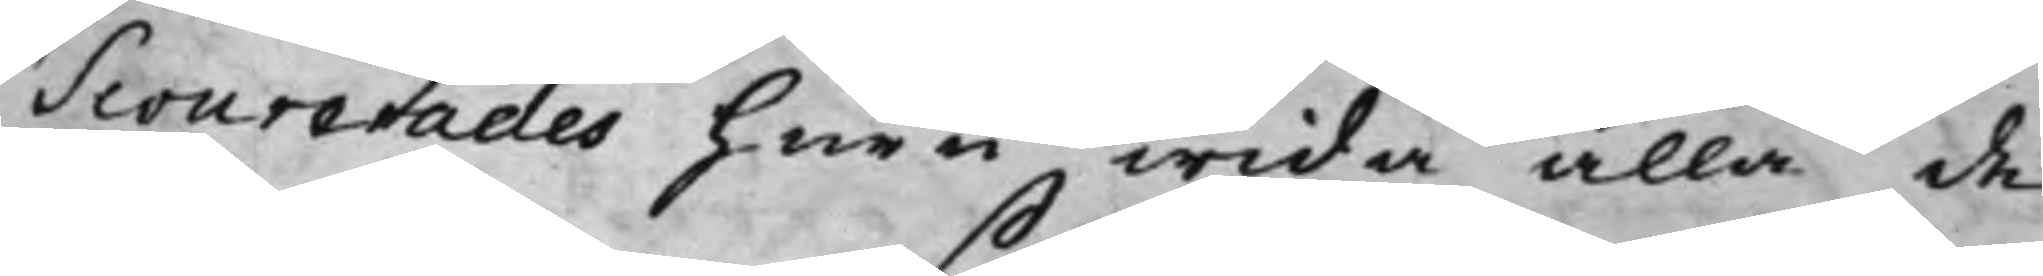Scourerades huru wida alla de
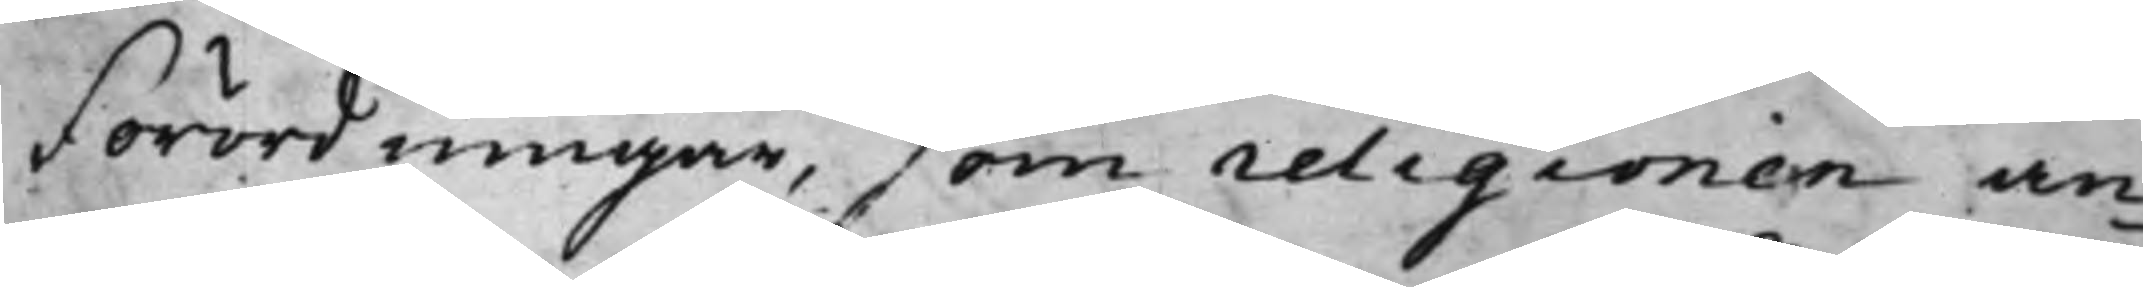Förordningar, som religionen an¬
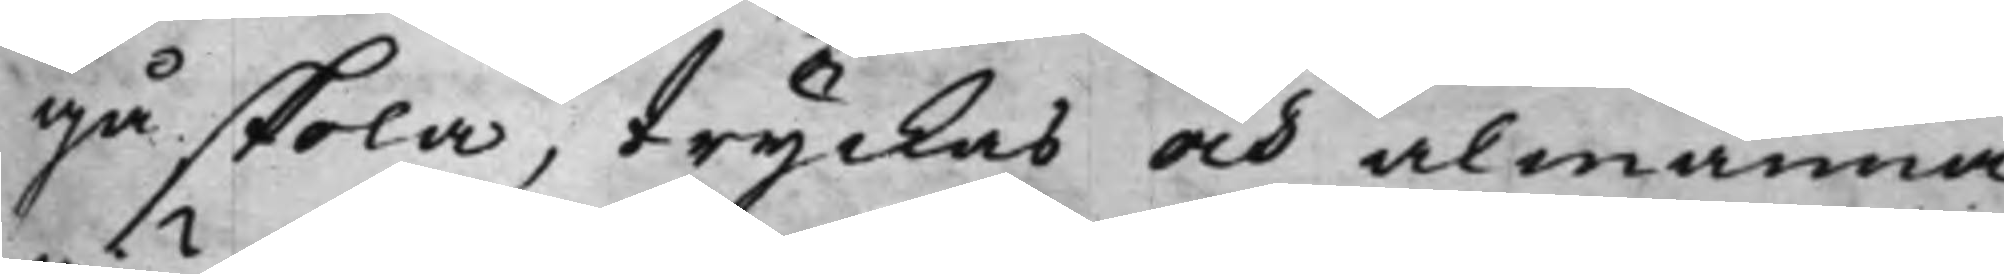gå skola, tryckas och almänna
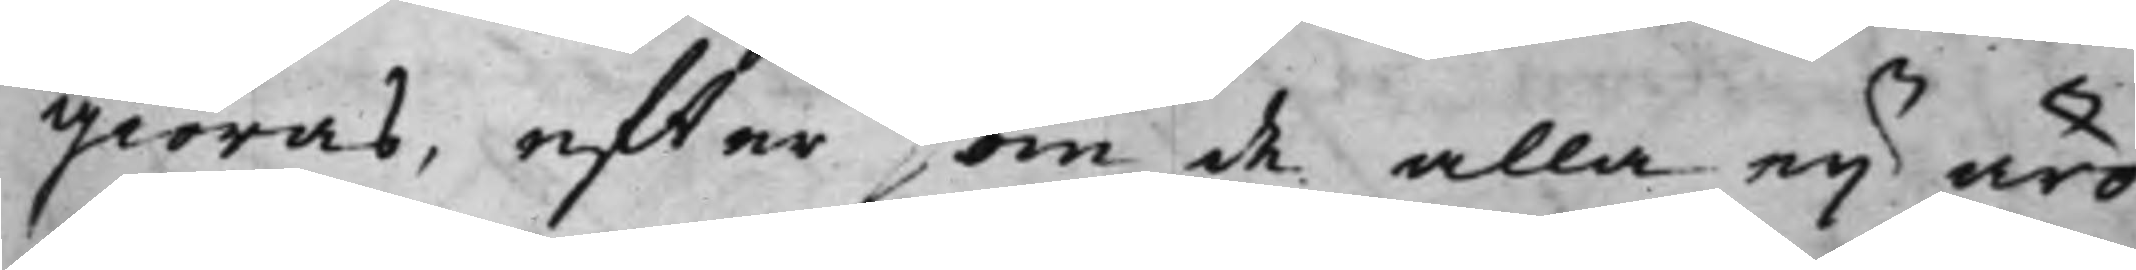giöras, effter som de alla ey äro
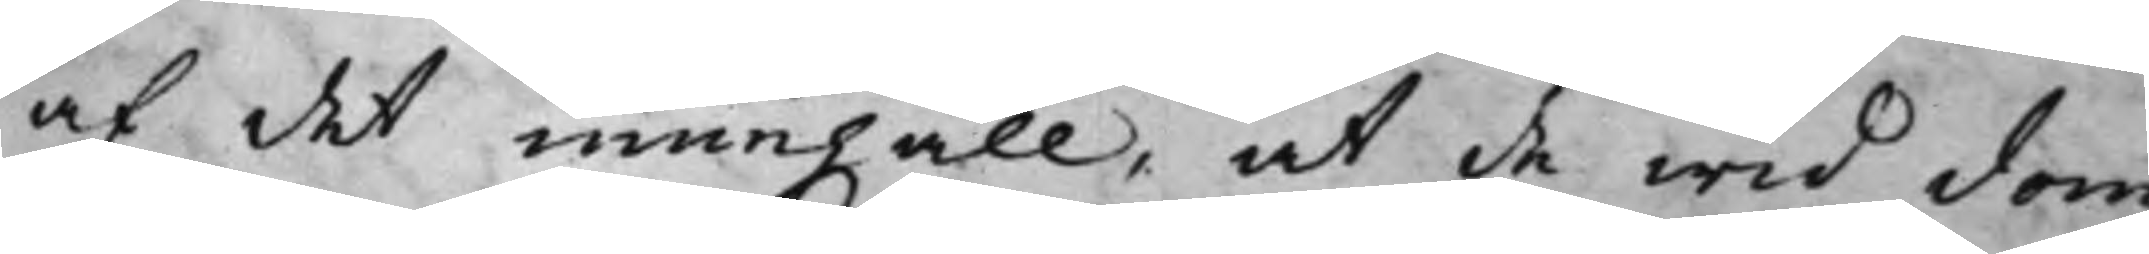af det innehåll, at de wid dom¬
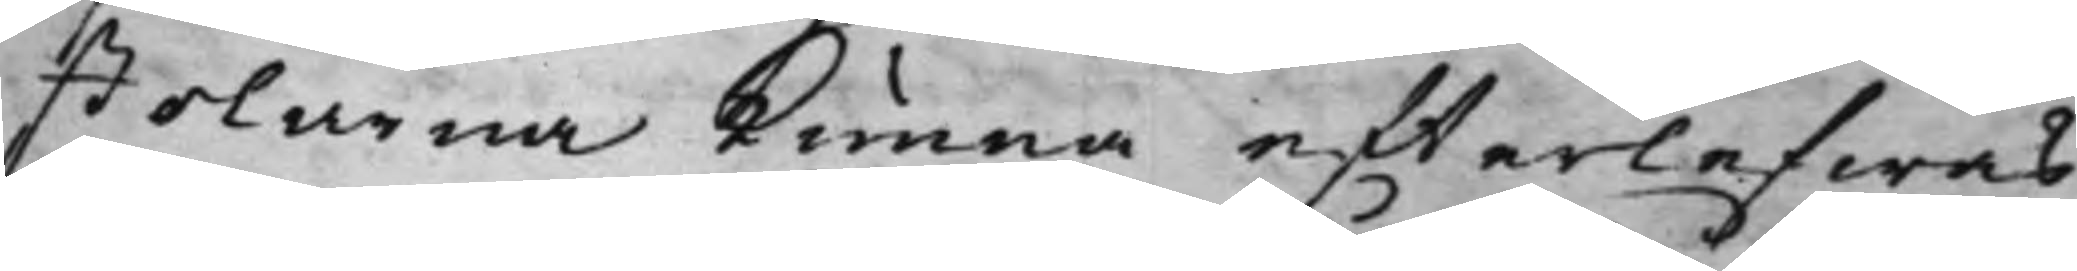stolarna kunna effterlefwas.
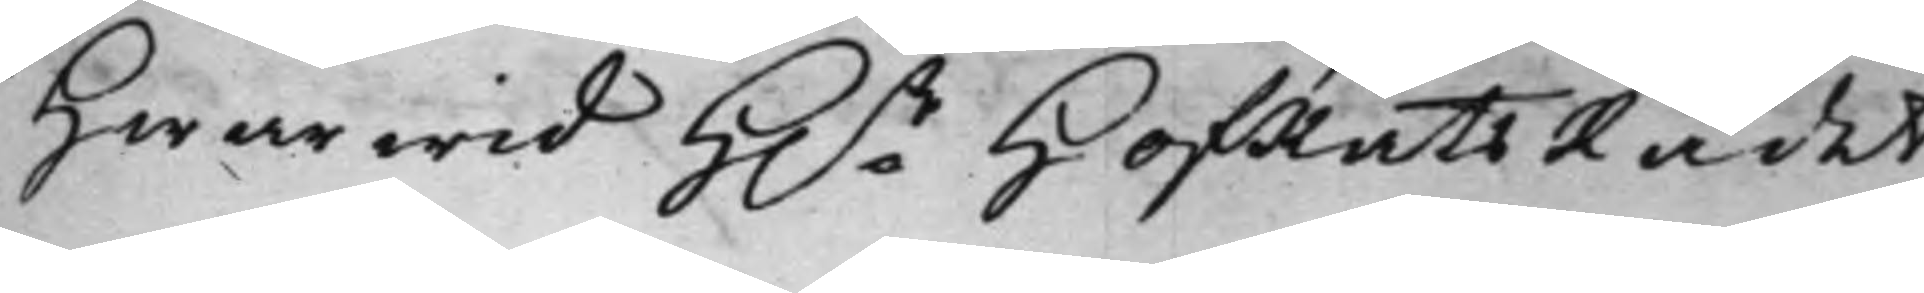Hwarwid H.r HofRättsRådet
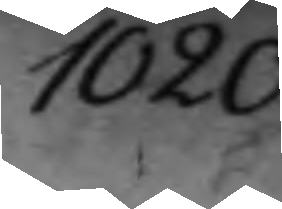1020.
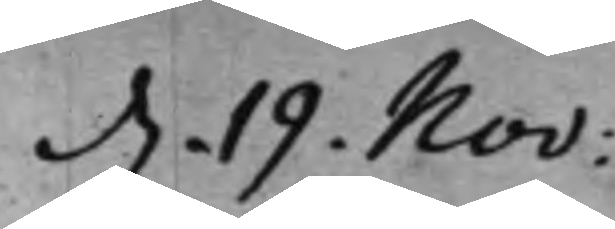d. 19. Nov:
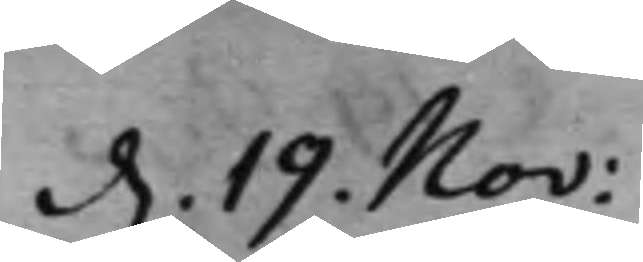d. 19. Nov:
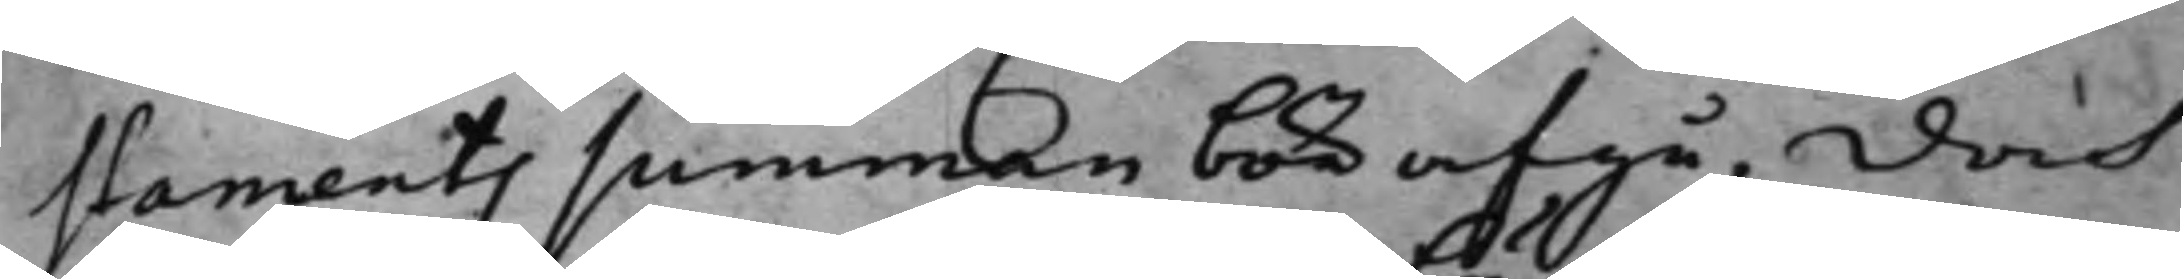staments summan bör afgå, doch
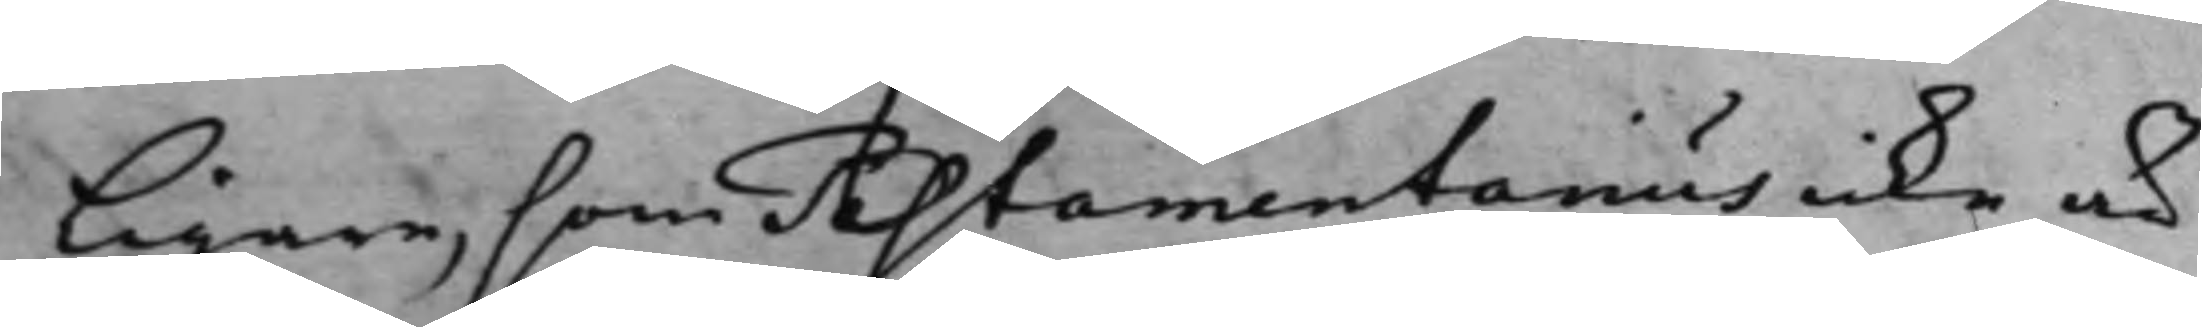ligare, som Astamentarius icke a
